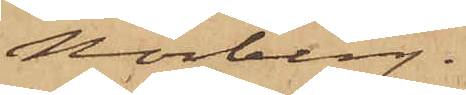Norberg.
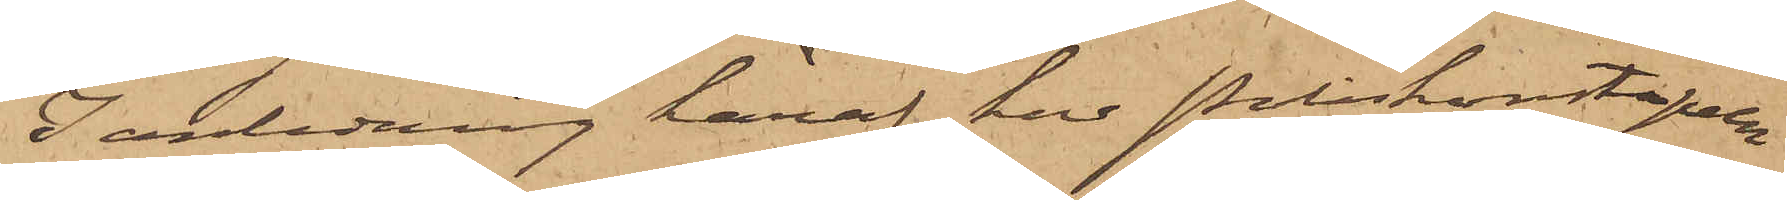I anledning häraf har Poliskonstapeln
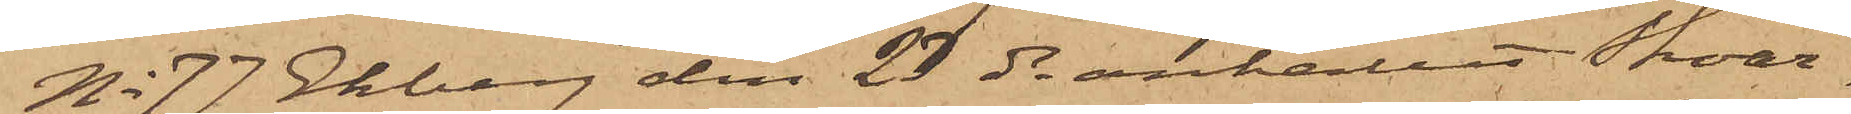No 77 Ekberg den 23 ds anhållit Skoar¬
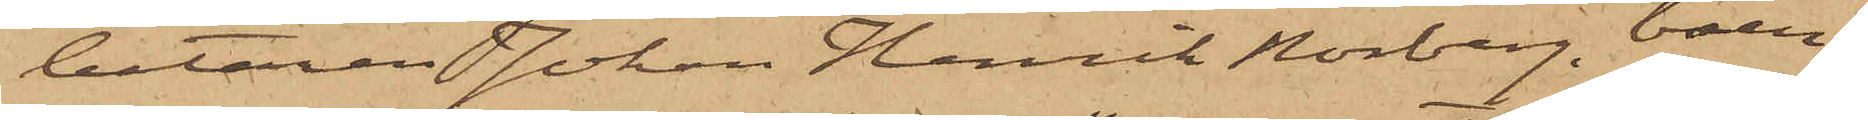betaren Johan Henrik Norberg, boen¬
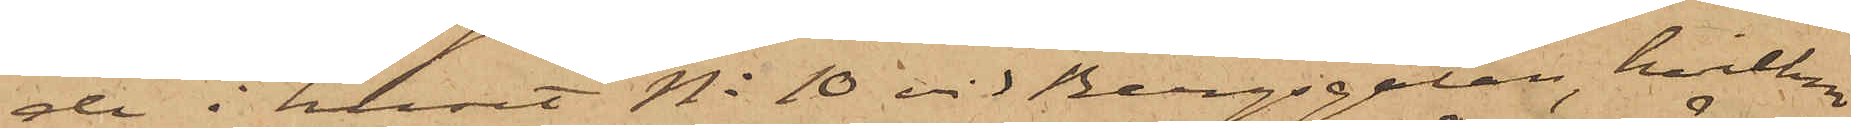de i huset No 10 vid Bergsgatan, hvilken
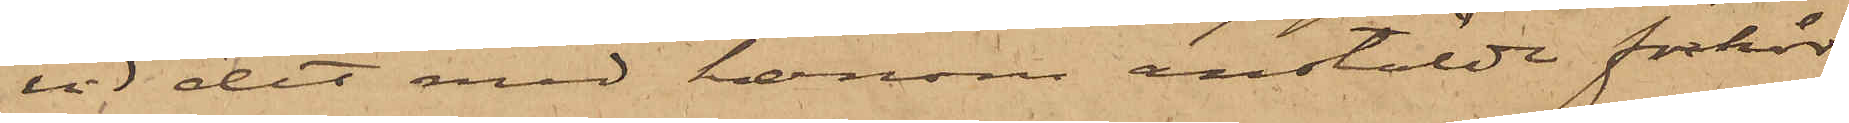vid det med honom anstälde förhör
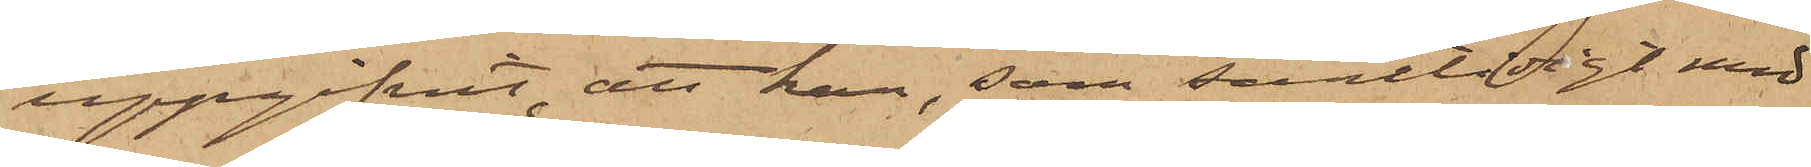uppgifvit, att han, som samtidigt med
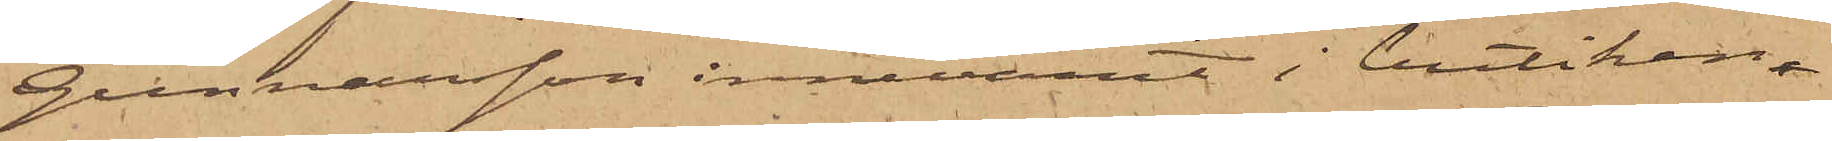Gunnarsson innevarit i butiken
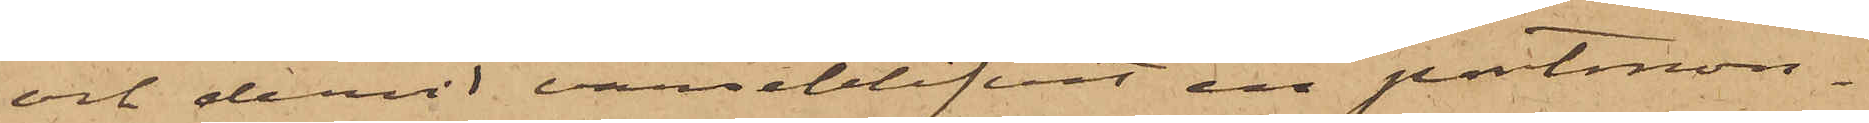och dervid varseblifvit en portmon¬
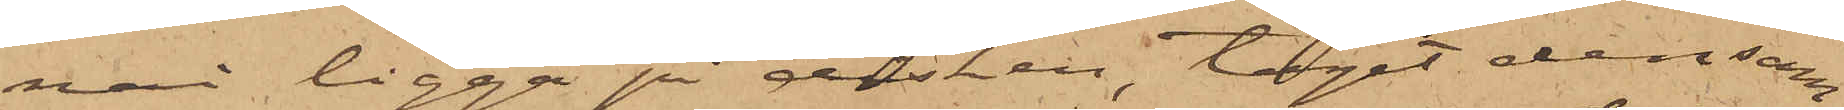nai ligga på disken, tagit densam¬
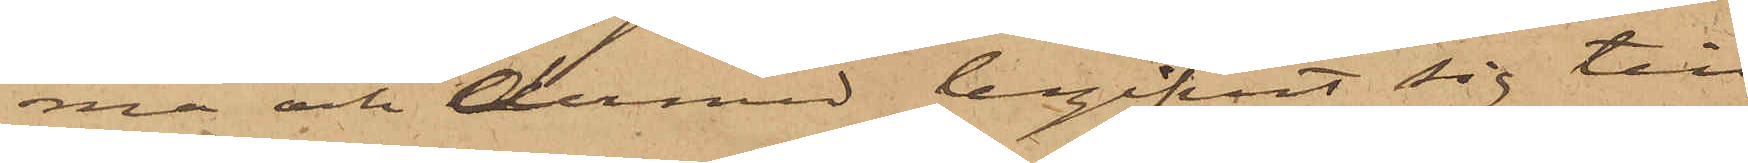ma och dermed begifvit sig till
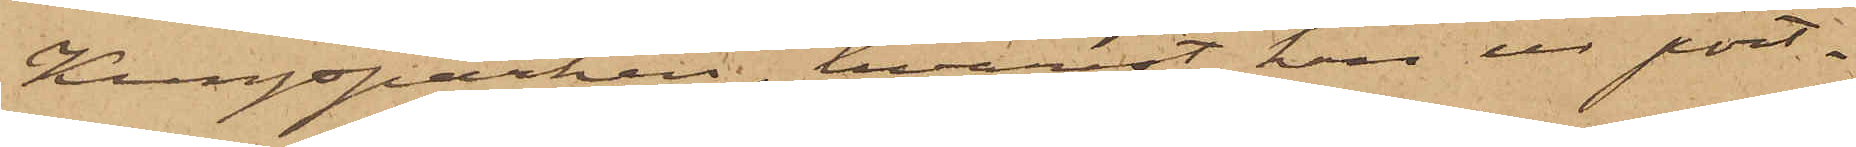Kungsparken, hvarest han ur port¬
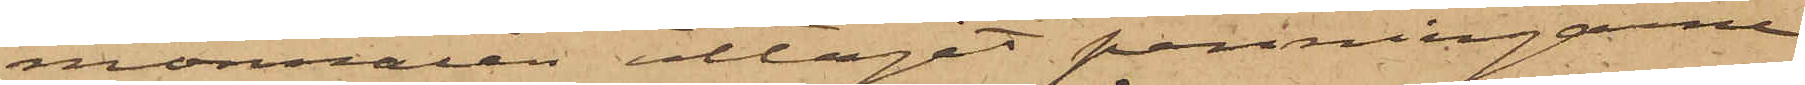monnaien uttagit penningare
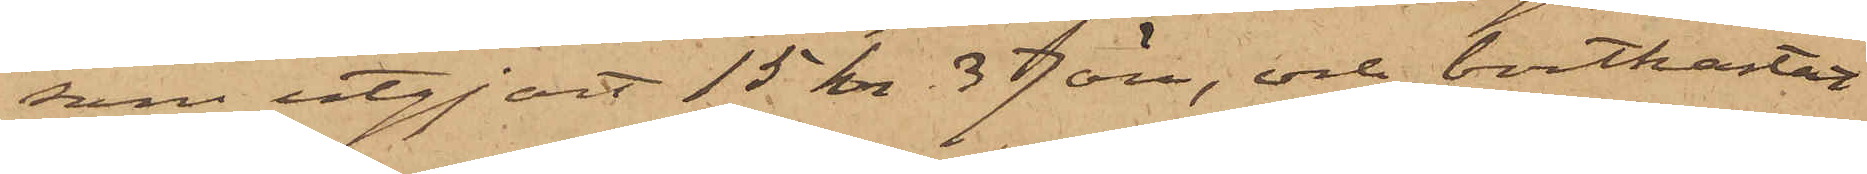som utgjort 15 kr. 37 öre, och bortkastat
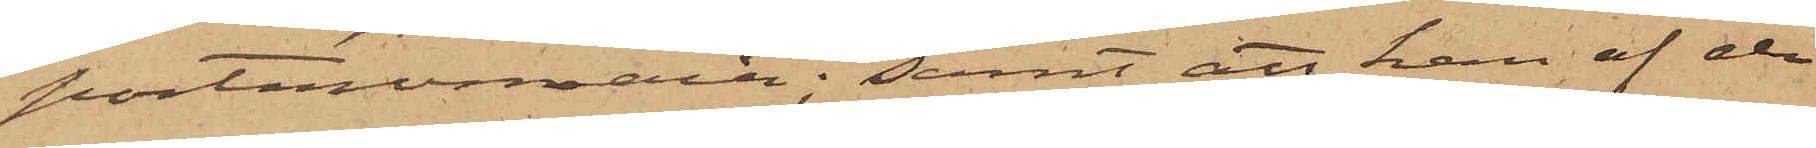portmonnaien; samt att han af de
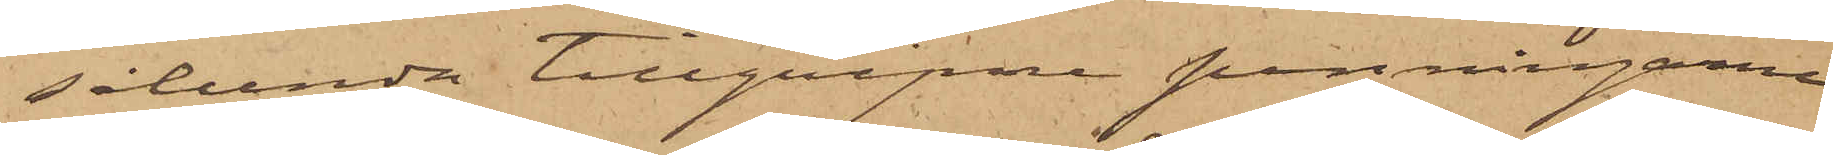sålunda tillgripne penningarne
